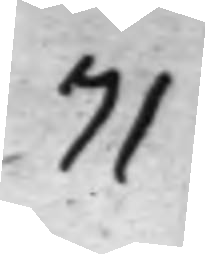71
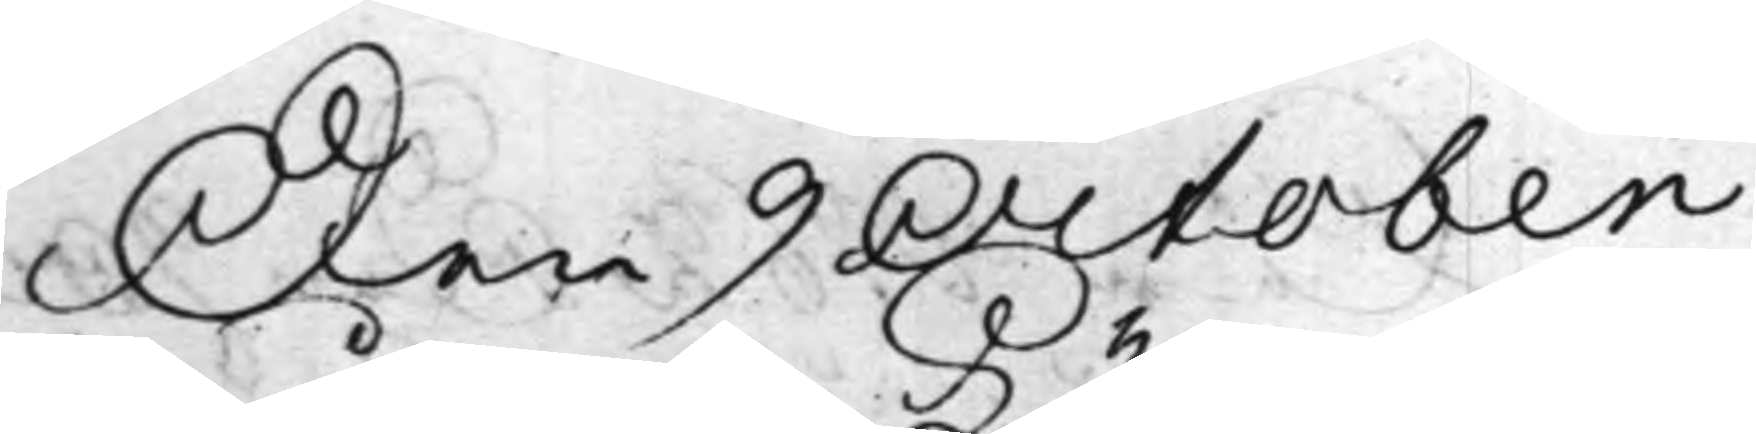Den 9 October
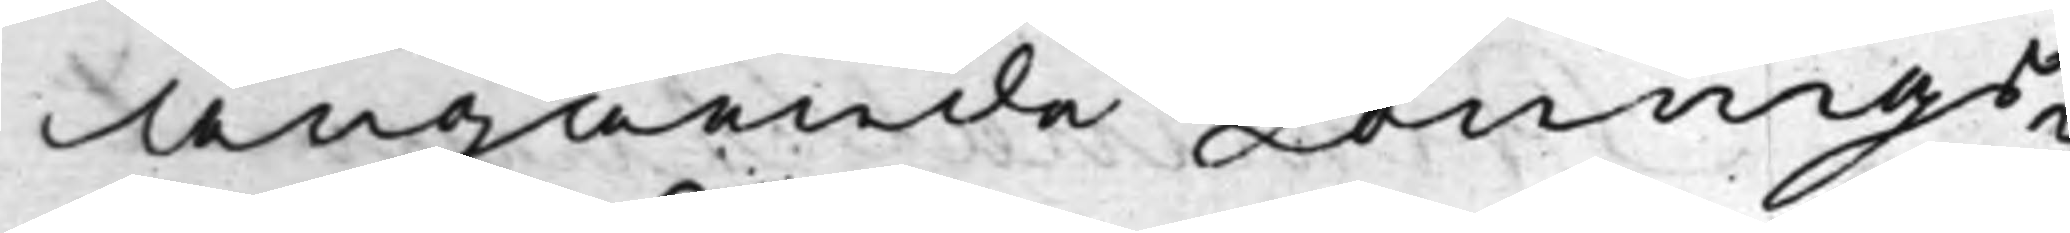Angående Lönings¬
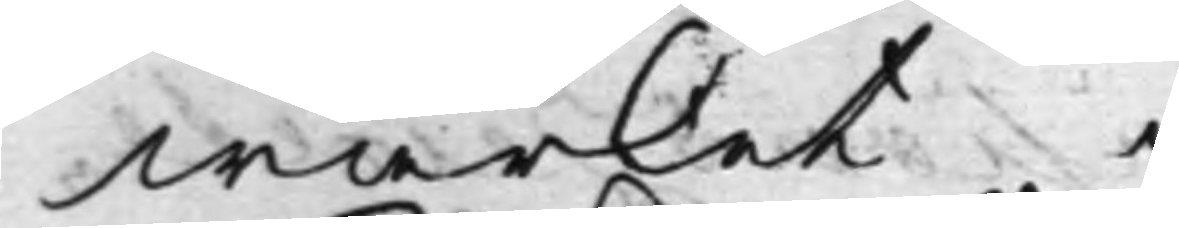wärket.
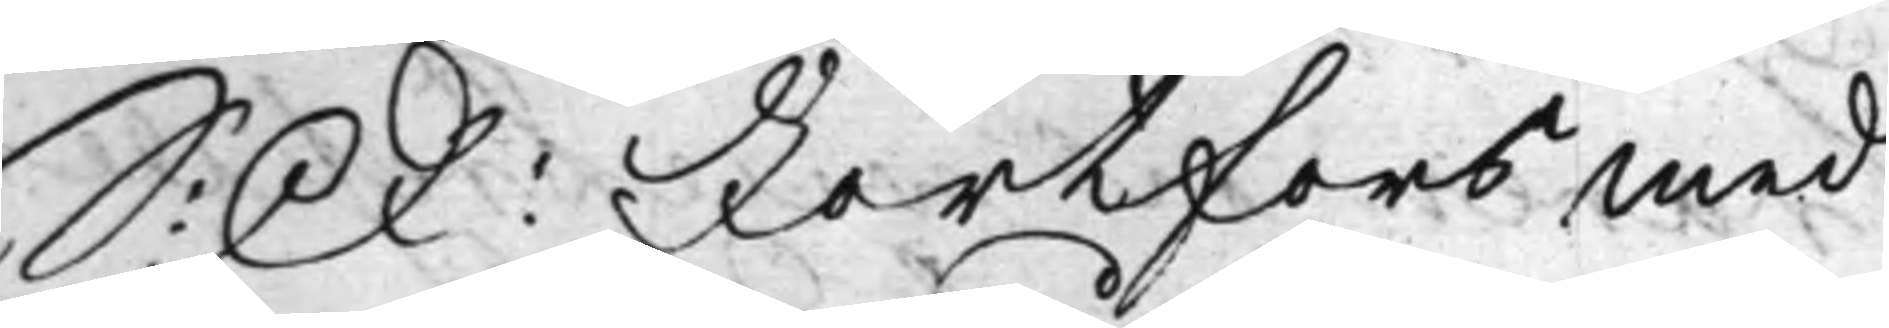S: D: Fortfors med
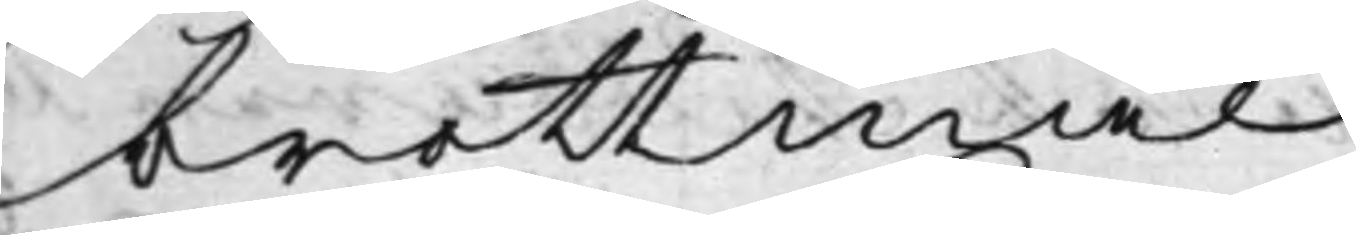brottmål
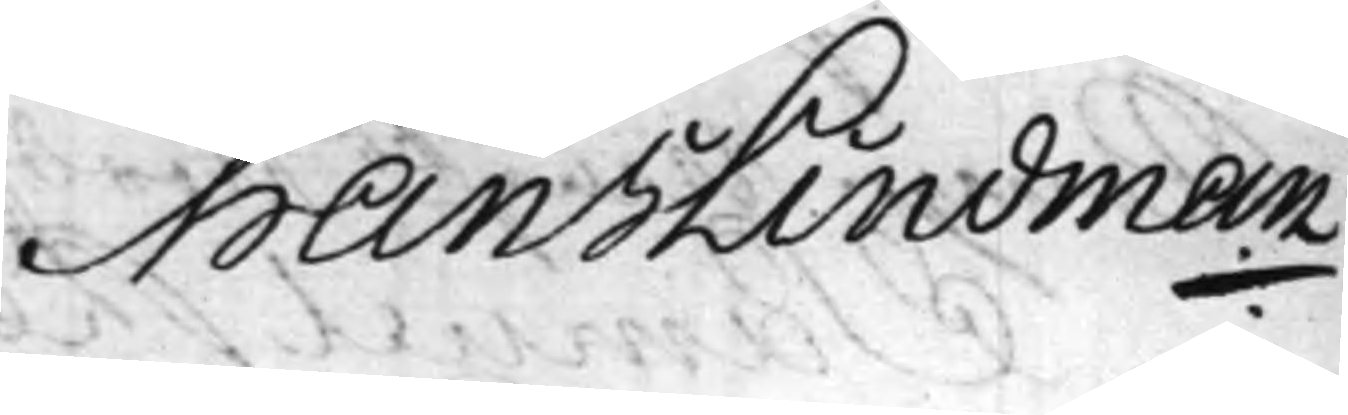Hans Lindman
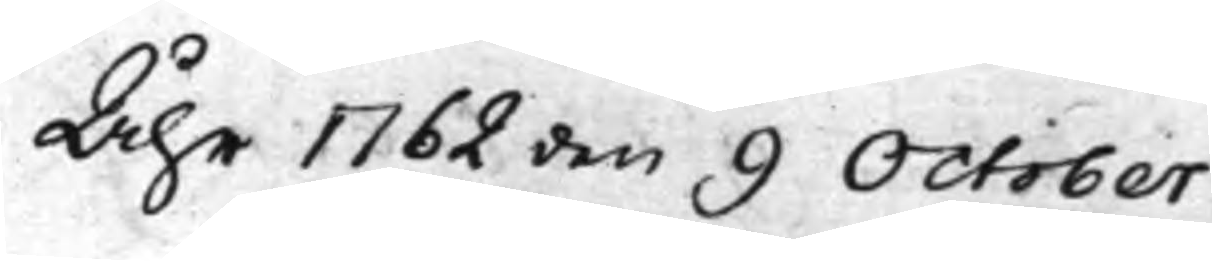Åhr 1762 den 9 October
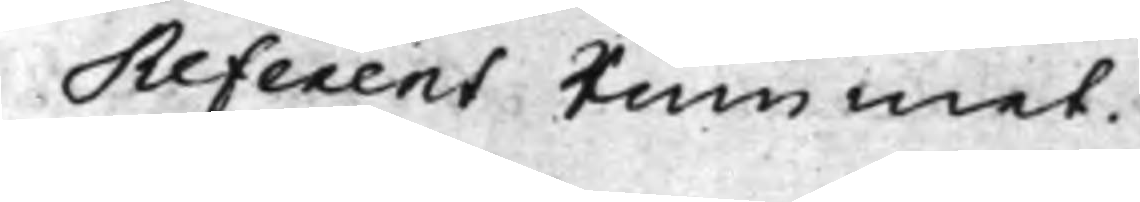Referent Rummet.
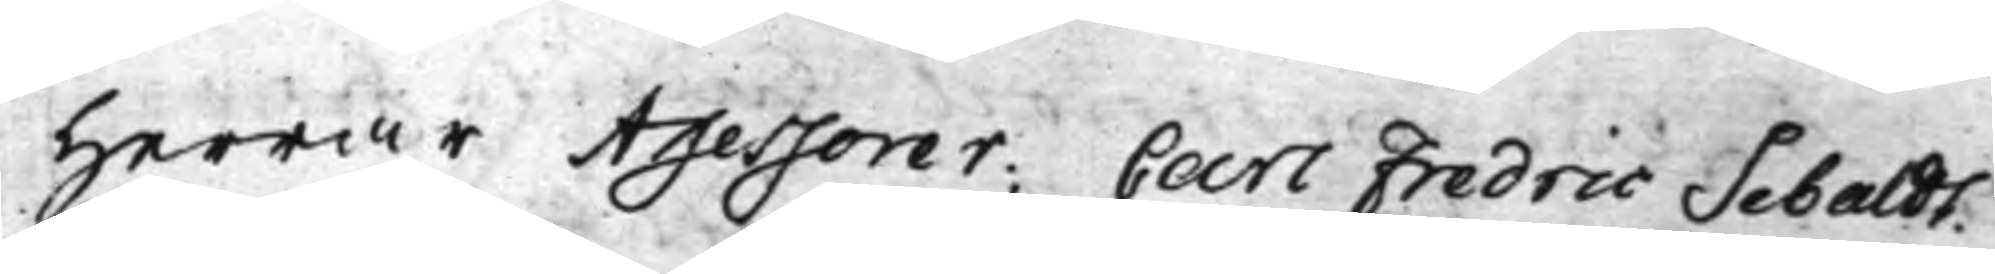Herrar Assessorer; Carl Fredric Sebaldt.
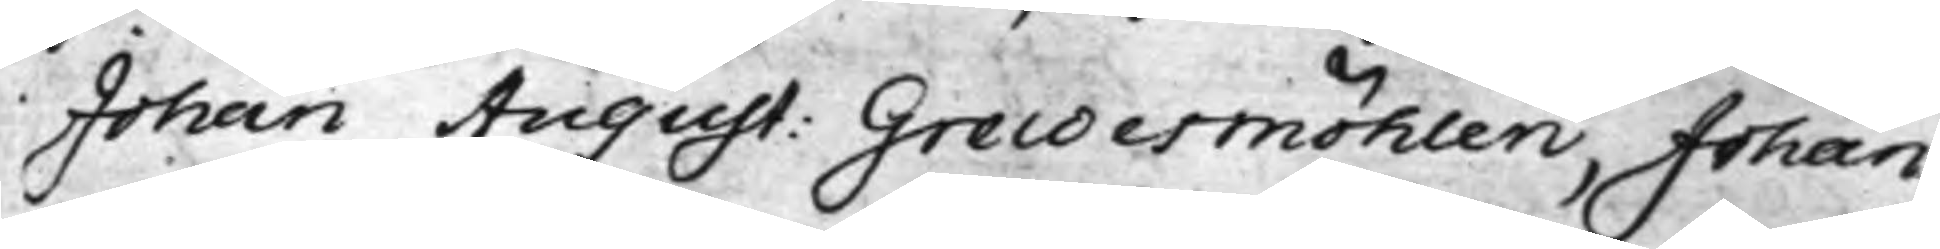Johan August: Grewesmöhlen, Johan
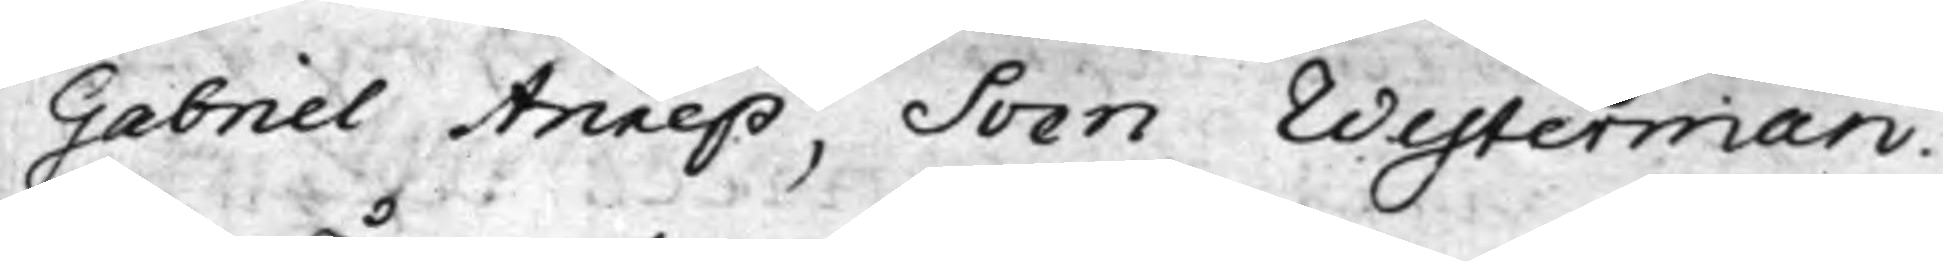Gabriel Anrep, Sven Westerman.
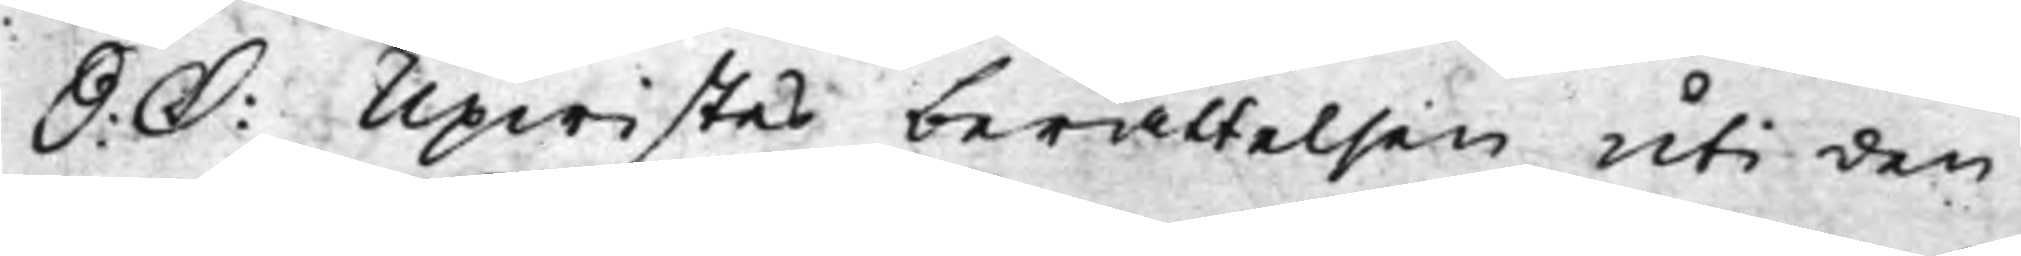S: D: Upwistes berättelsen uti den
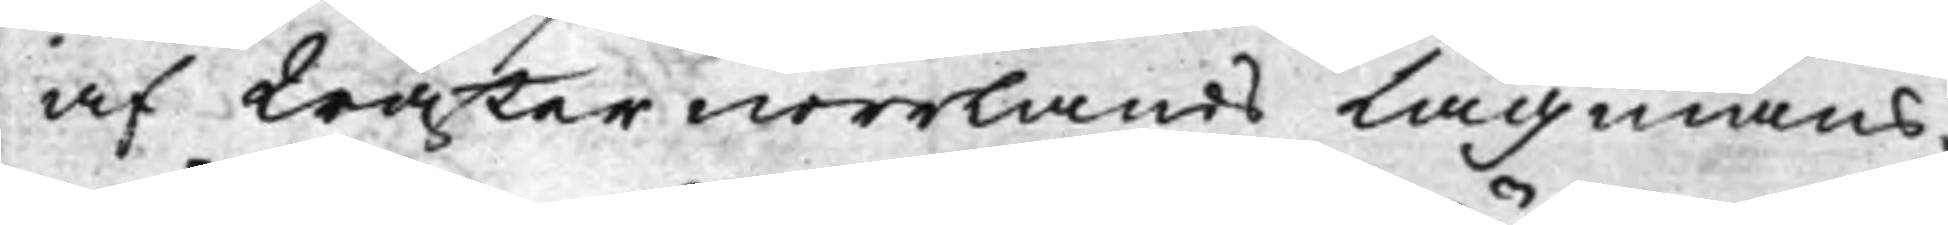af Wästernorrlands Lagmans¬
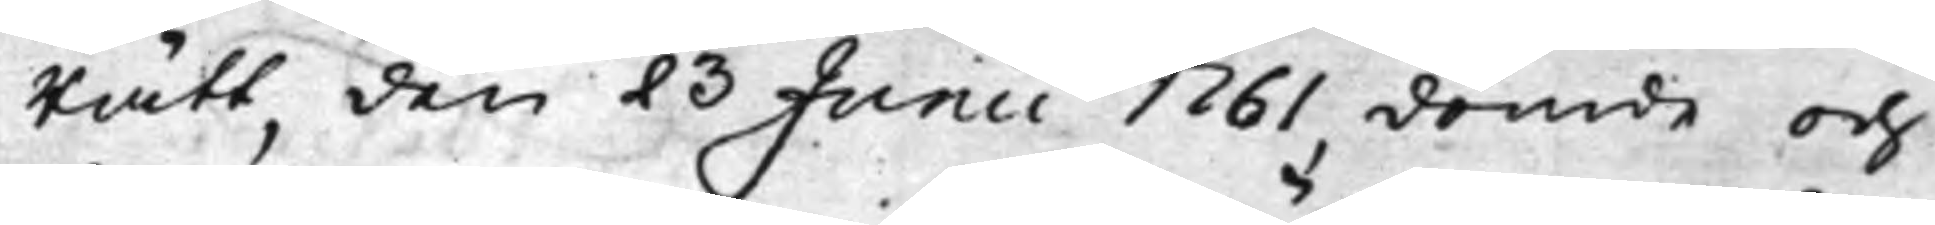Rätt, den 23 Junii 1761, dömde och
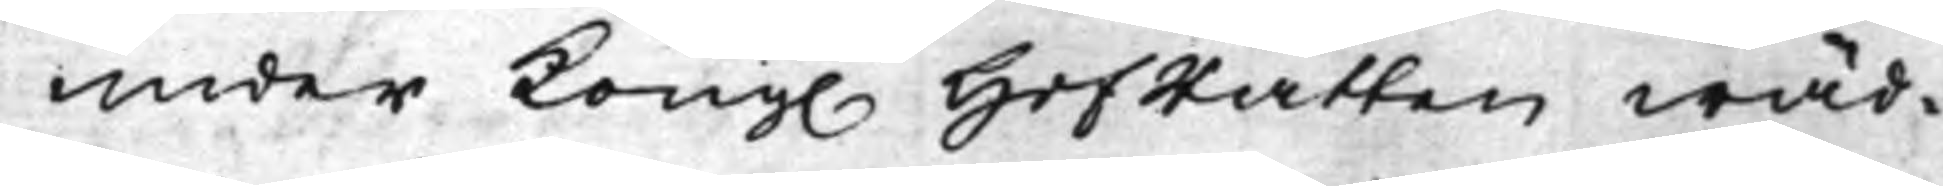under Kong. HofRätten wäd¬
